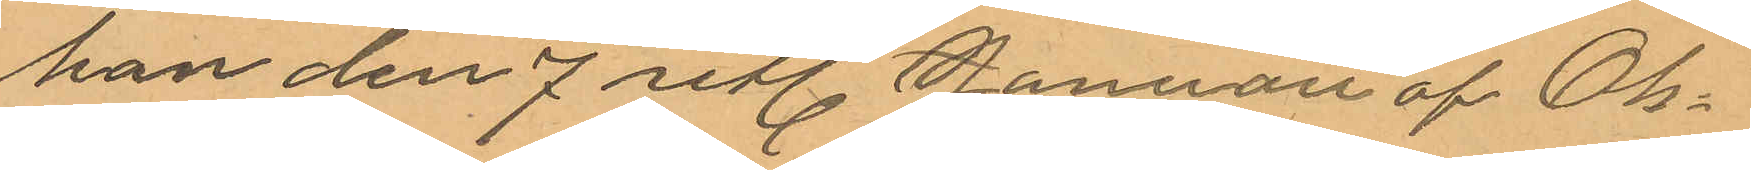han den 7 sitl. Januari af Ols¬
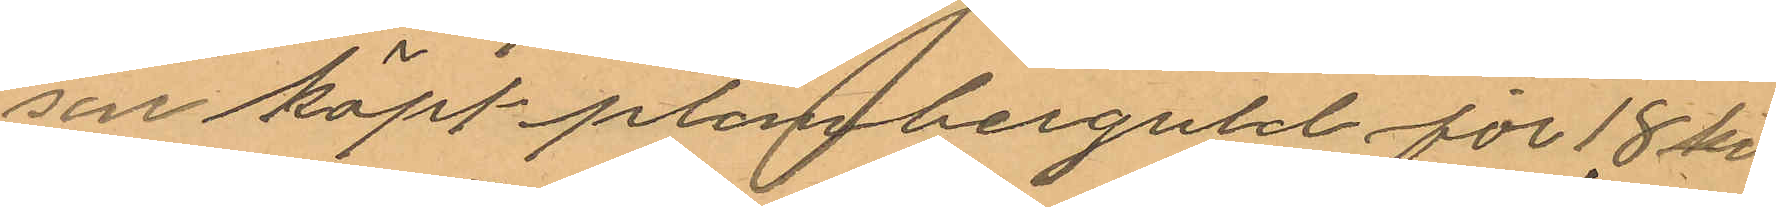son köpt plomberguld för 18 kr.
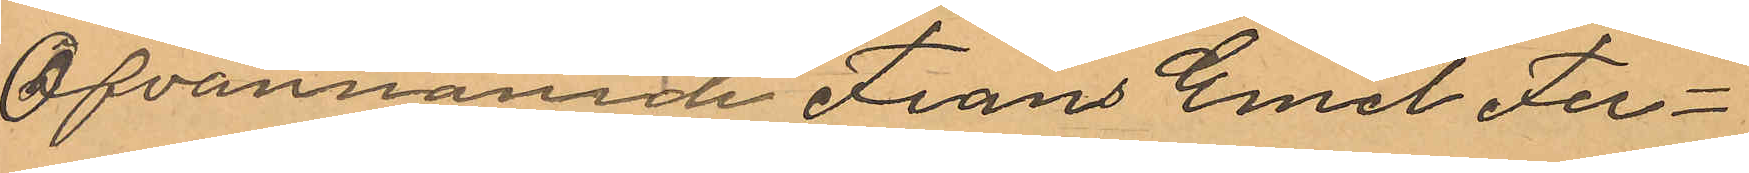Ofvannämde Frans Emil Fer¬
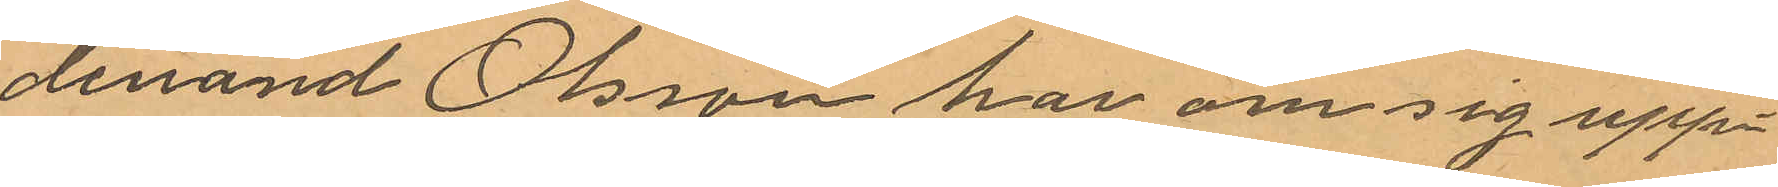dinand Olsson har om sig upp¬
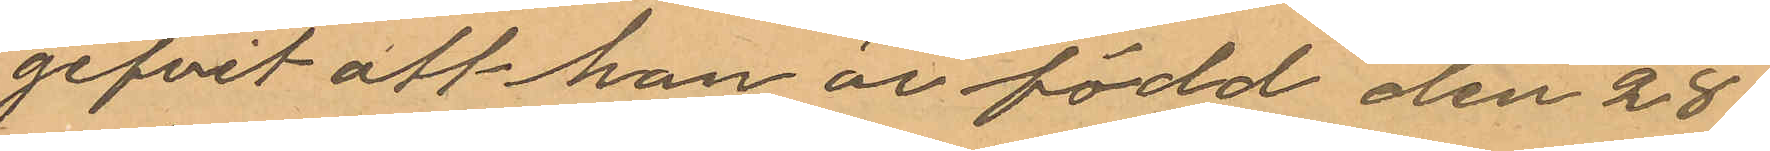gifvit att han är född den 28
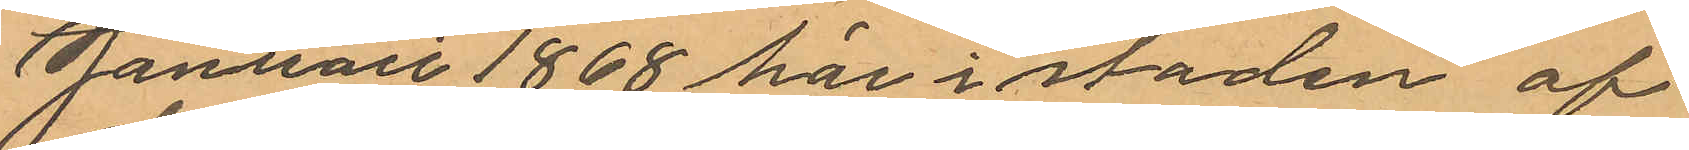Januari 1868 här i staden af
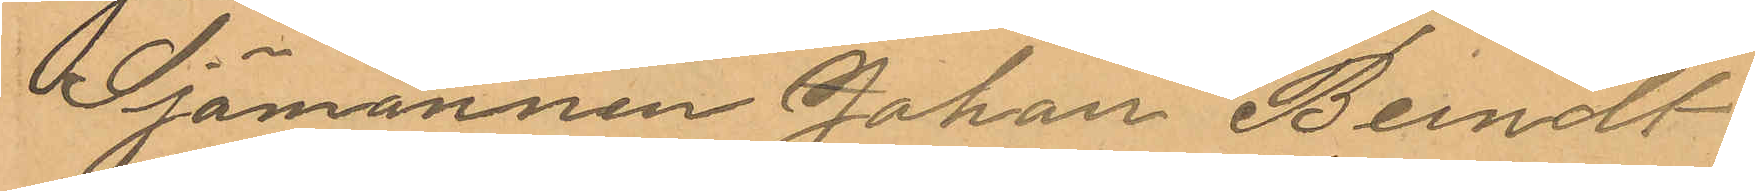Sjömannen Johan Bendt
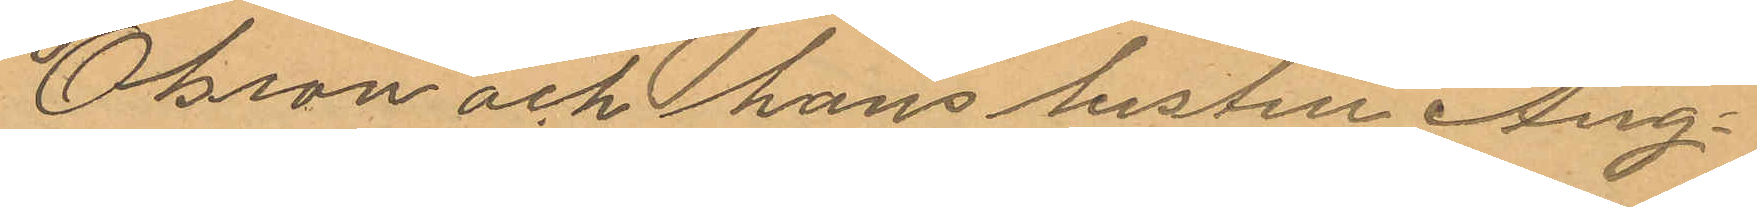Olsson och hans hustru Aug¬
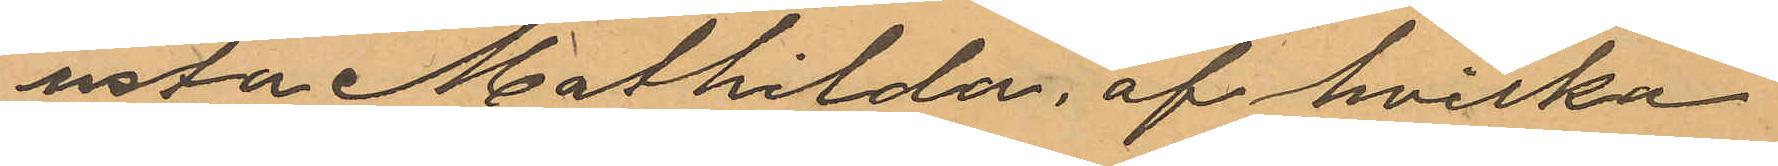usta Mathilda, af hvilka
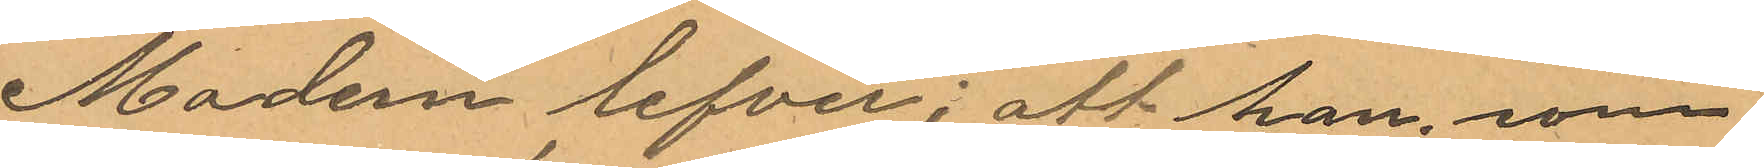Modern lefver; att han, som
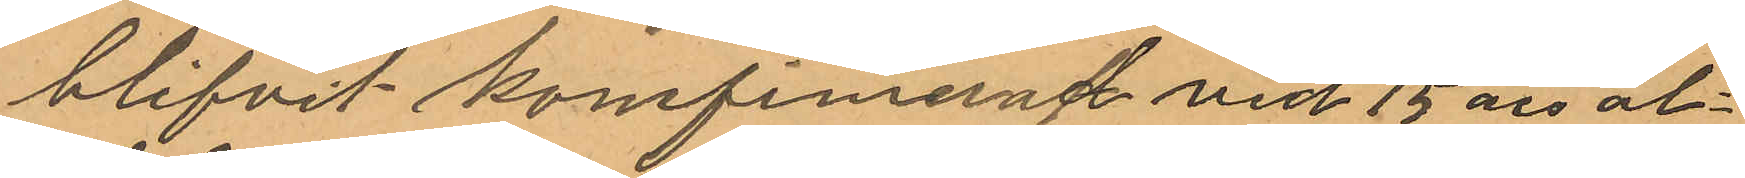blifvit konfirmerad vid 15 års ål¬
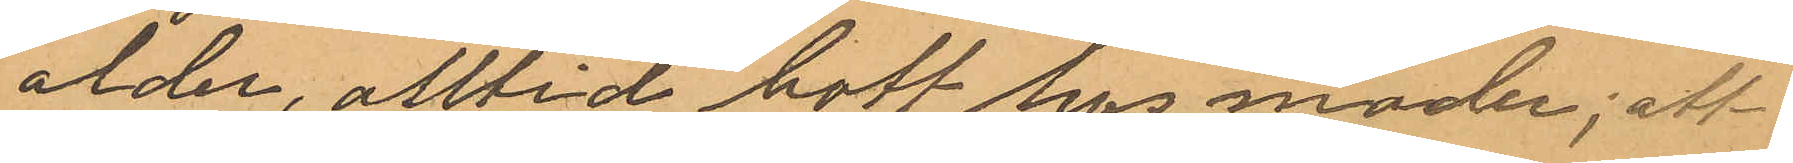ålder, alltid bott hos moder; att
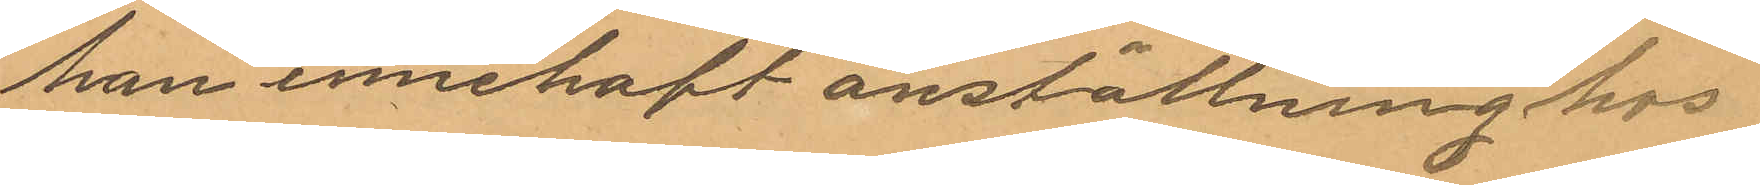han innehaft anställning hos
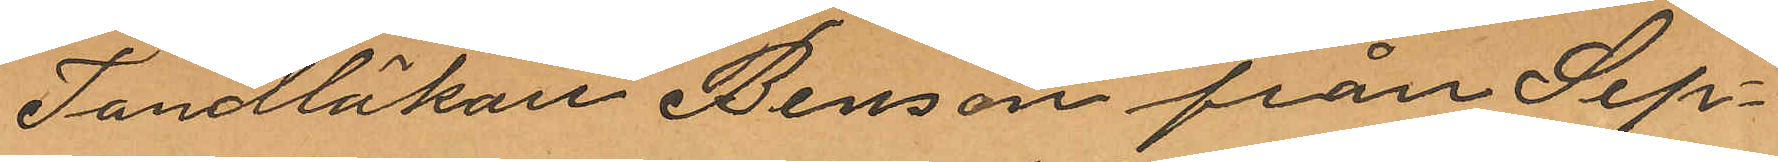Tandlåkare Bensow från Sep¬
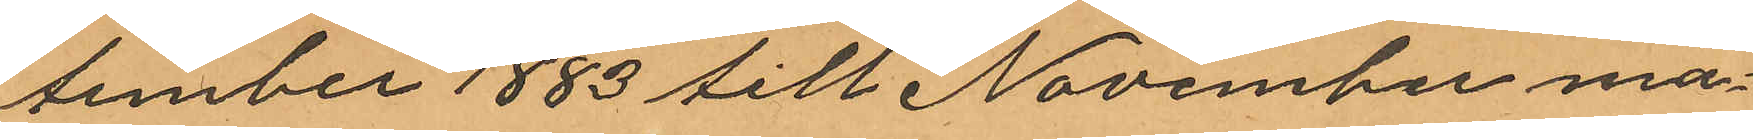tember 1883 till November må¬
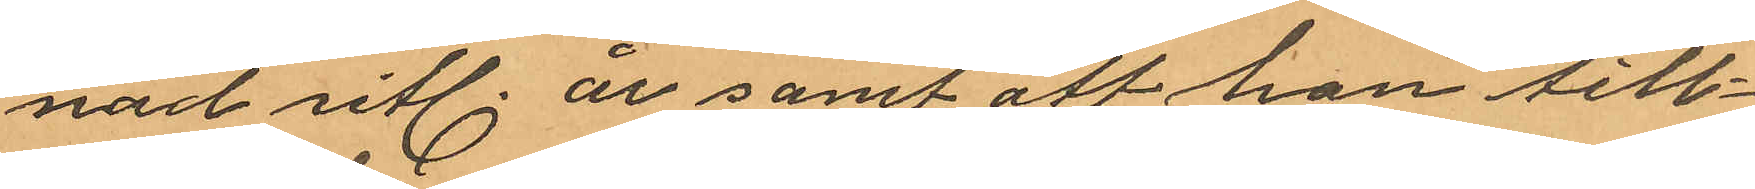nad sitl. år samt att han till¬
